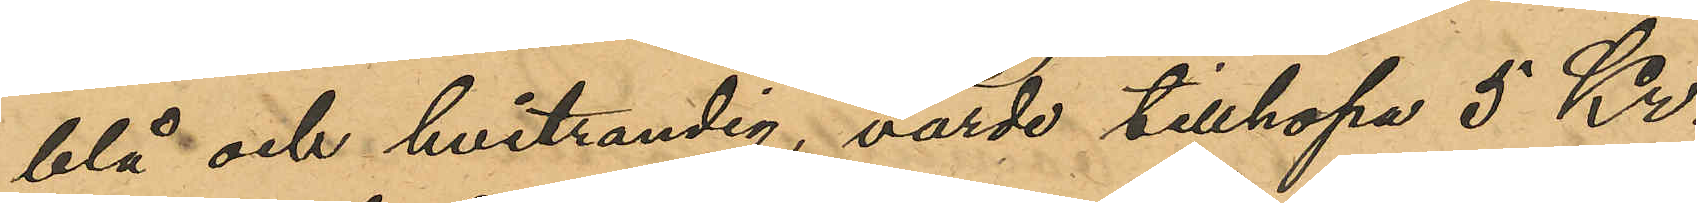blå- och hvitrandig, värda tillhopa 5Kr.,
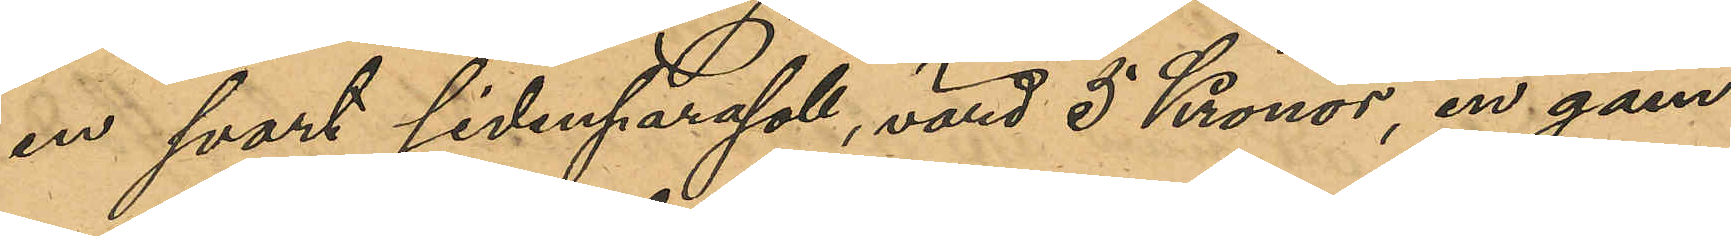en svart sidenparasoll,värd 5 Kronor, en gam¬
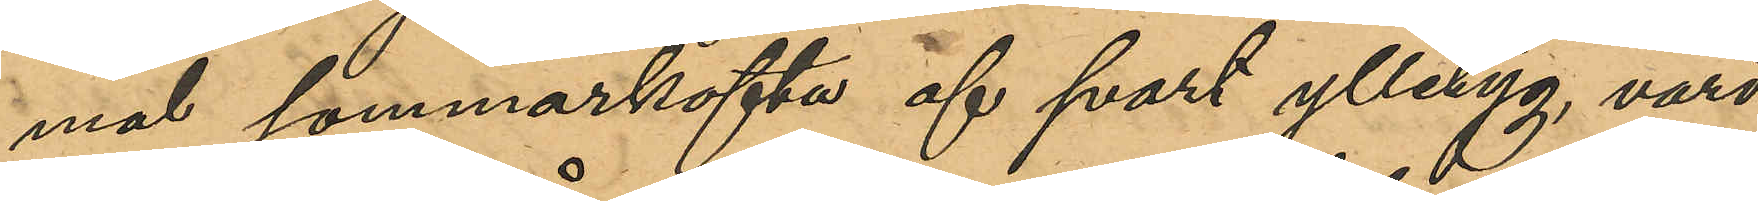mal sommarkofta af svart ylletyg, värd
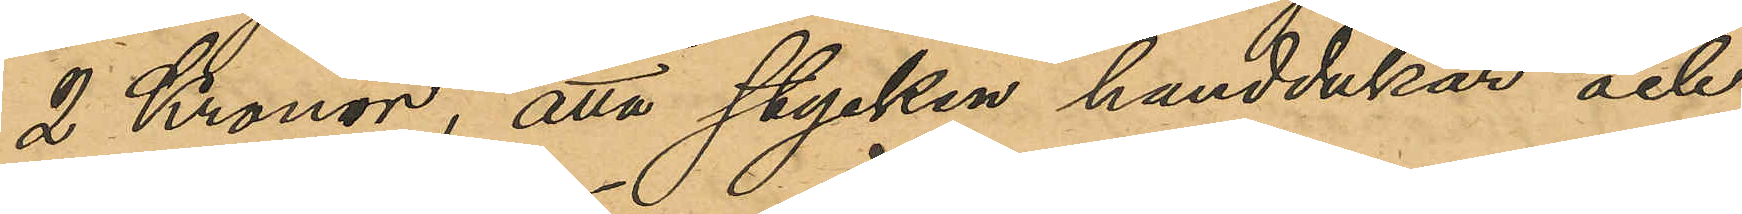2 Kronor, åtta stycken handdukar och
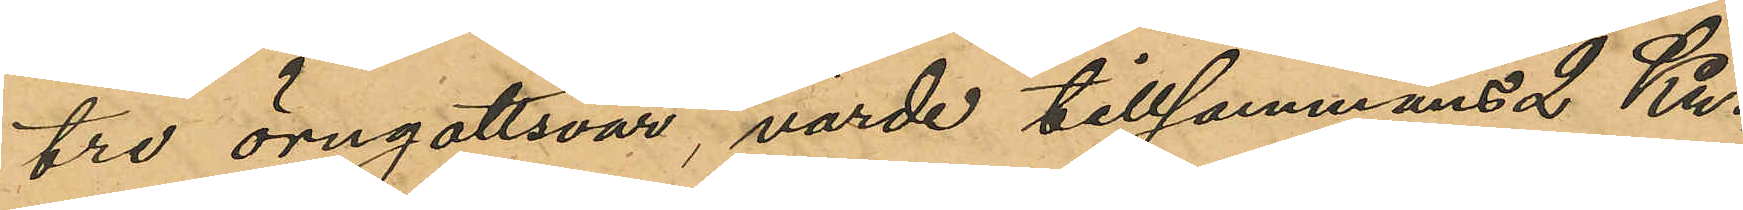tre örngottsvar, värde tillsammans 2 Kr.,
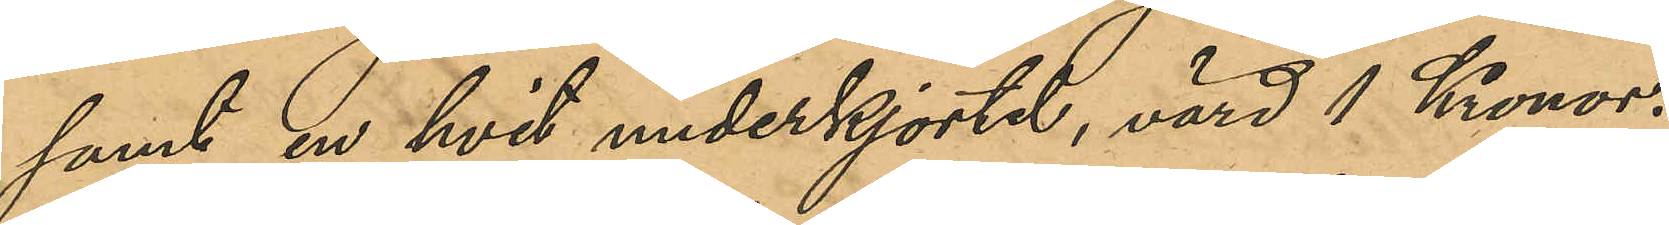samt en hvit underkjortel, värd 1 Kronor.
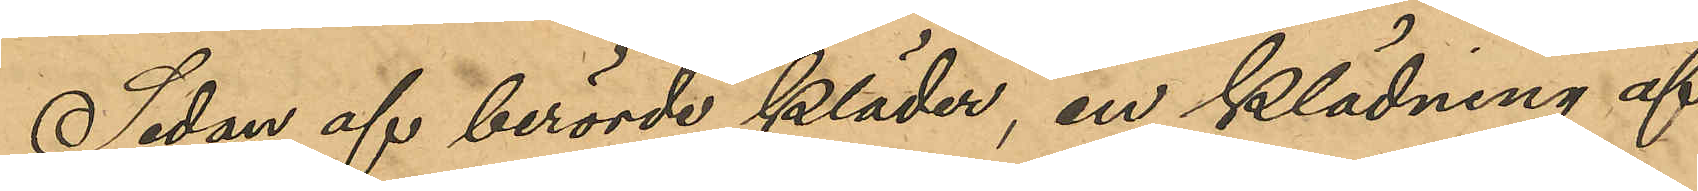Sedan af berörde kläder, en klädning af
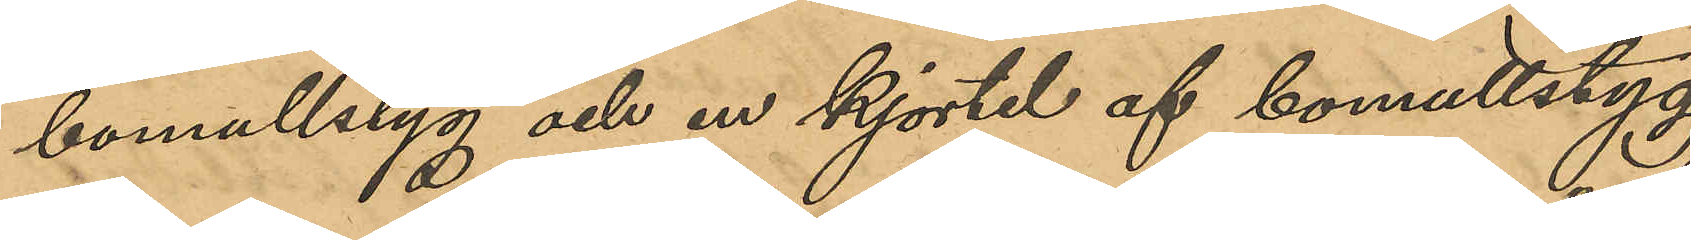bomullstyg och en kjortel af bomullstyg
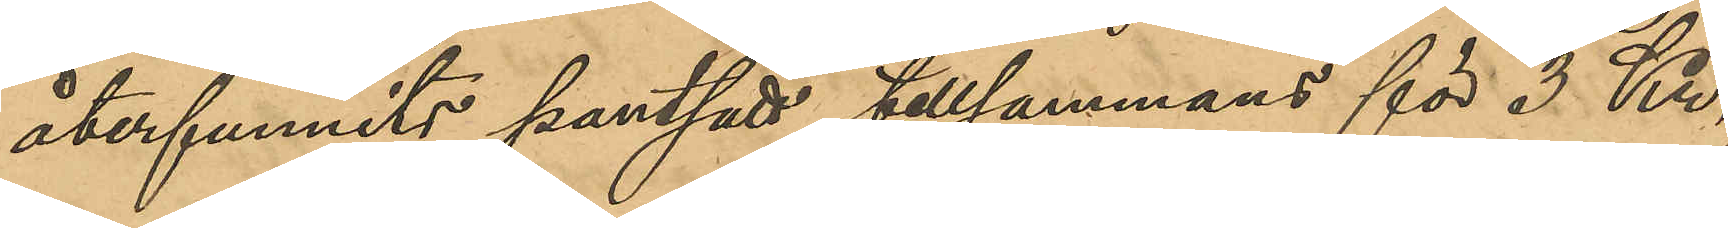återfunnits pantsatt tillsammans för 3 Kr.,
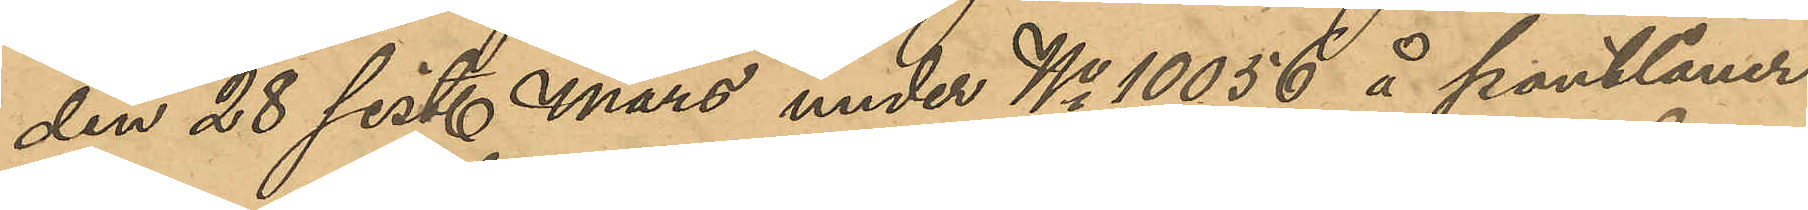den 28 sist. Mars under No 10056 å Pantlåner¬
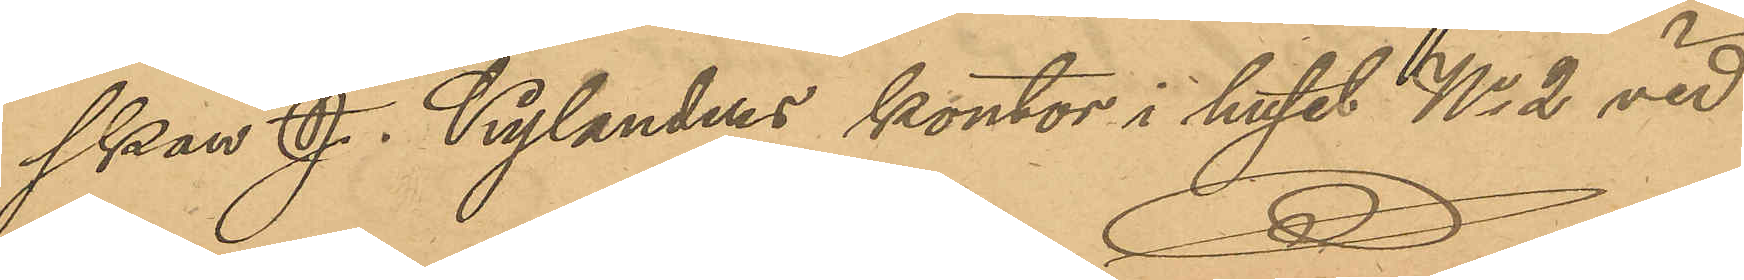skan J. Kylanders kontor i huset No 2 vid
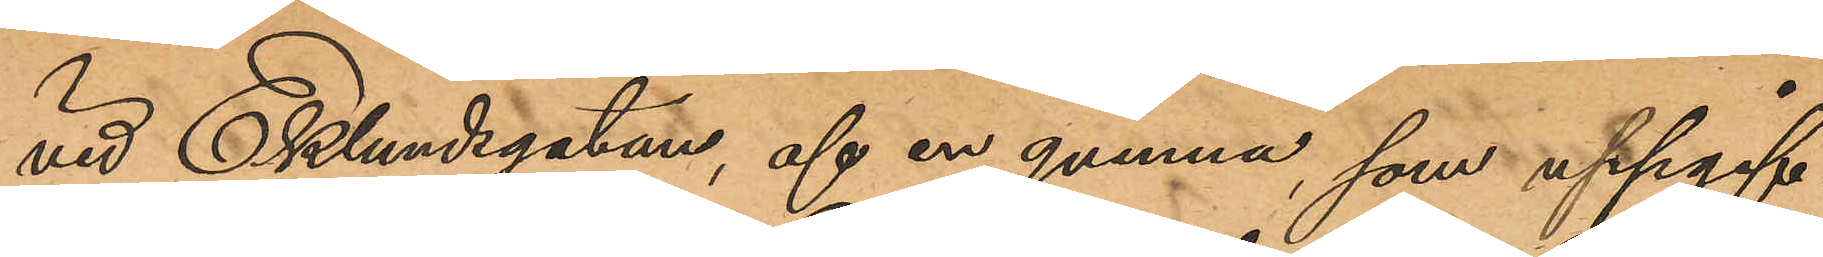vid Eklundsgatan, af en qvinna, som uppgif¬
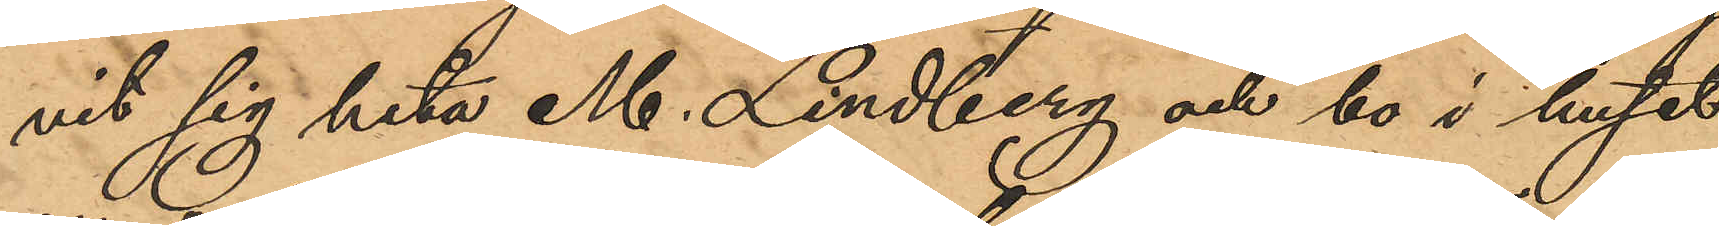vit sig heta M. Lindberg och bo i huset
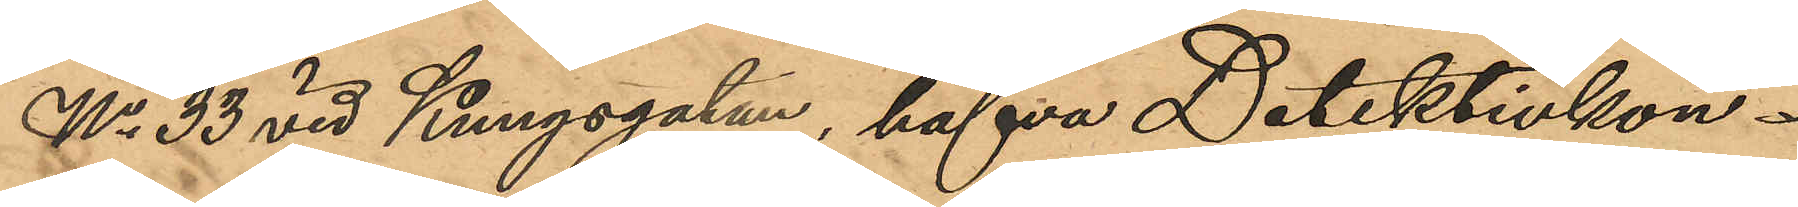No 33 vid Kungsgatan, hafva Detektivkon¬
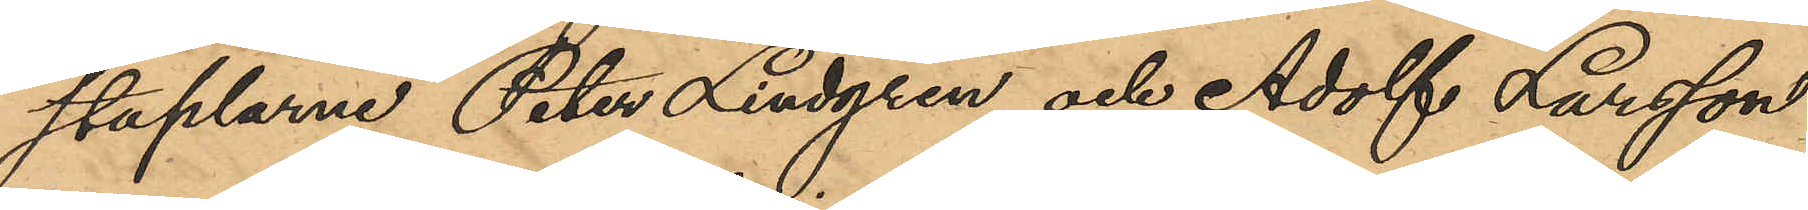staplarne Peter Lindgren och Adolf Larsson
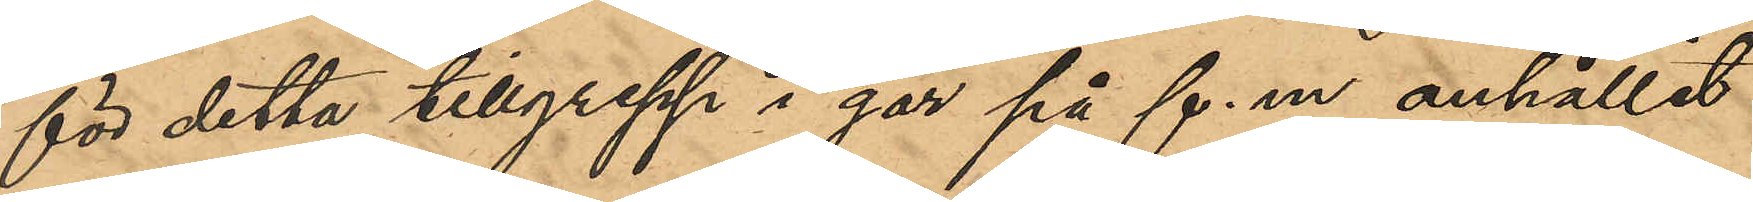för detta tillgrepp i går f. m. anhållit
